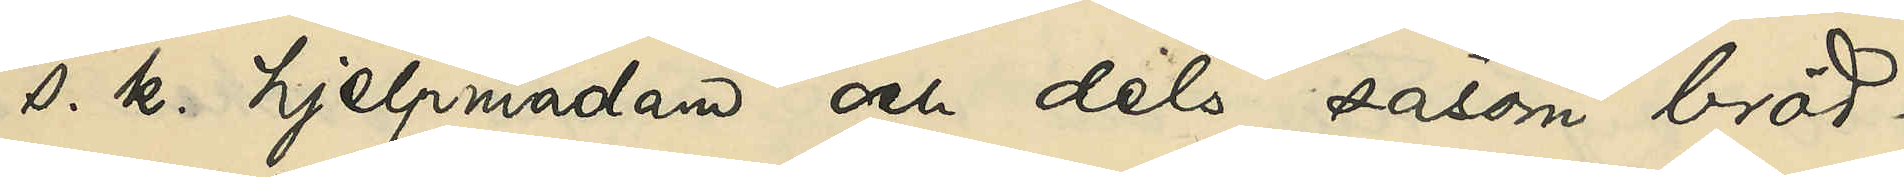s. k. hjelpmadam och dels såsom bröd¬
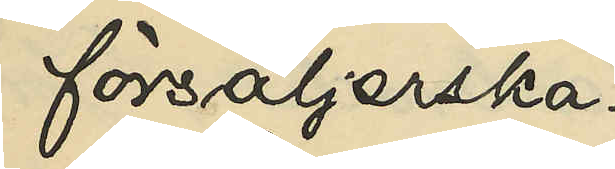försäljerska.
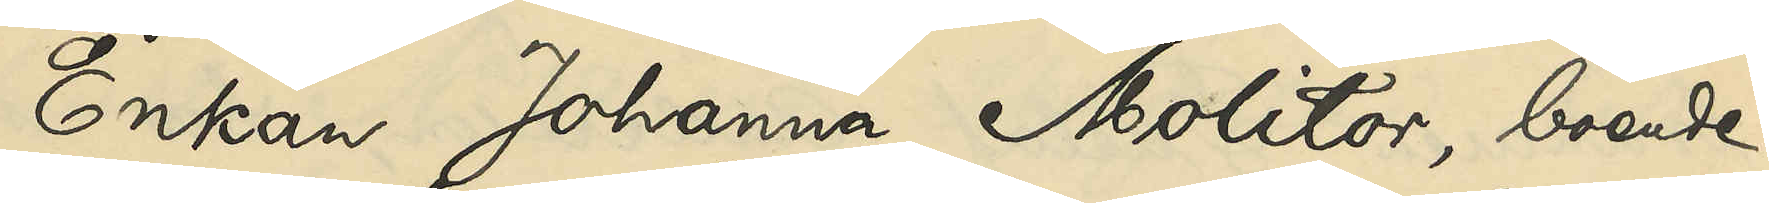Enkan Johanna Molitor, boende
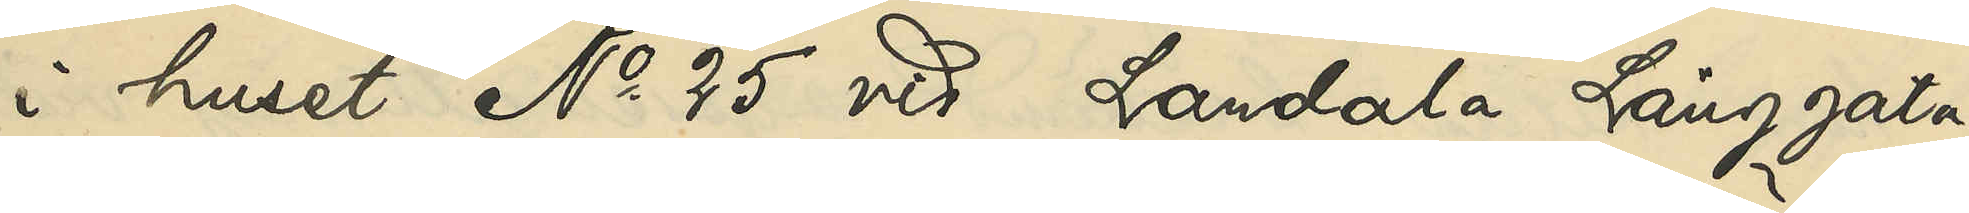i huset No 25 vid Landala Långgata,
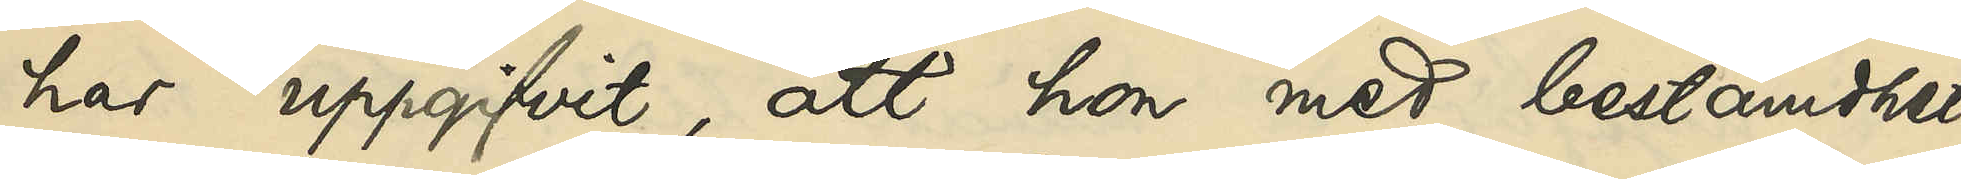har uppgifvit, att hon med bestämdhet
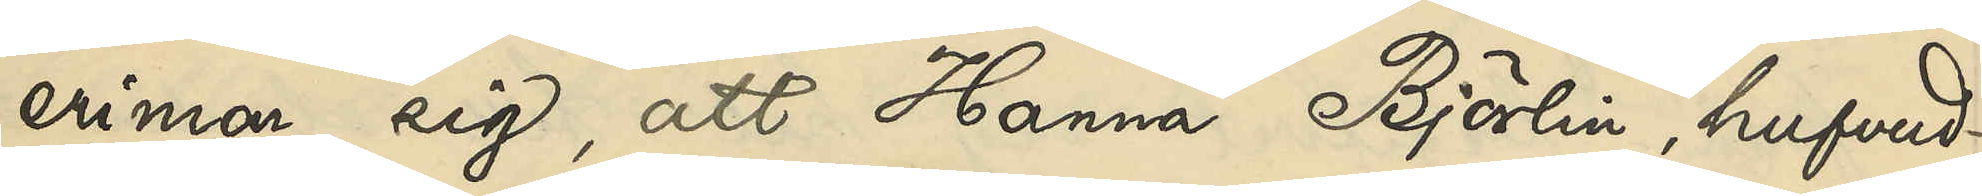erinrar sig, att Hanna Björlin, hufvud¬
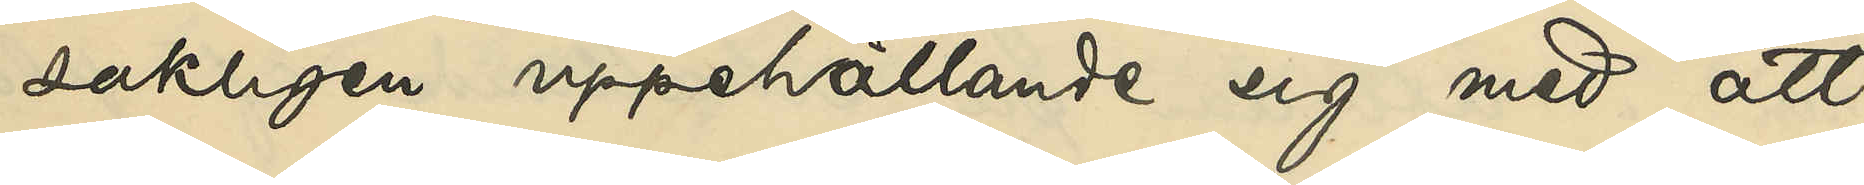sakligen uppehållit sig med att
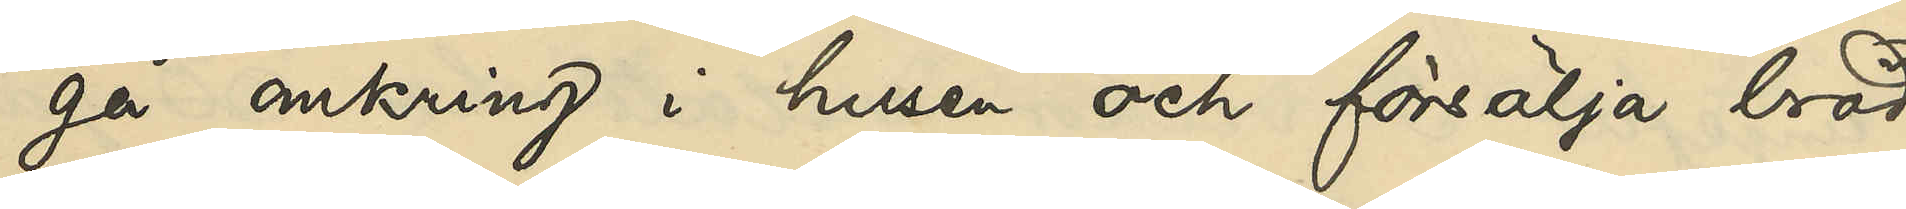gå omkring i husen och försälja bröd
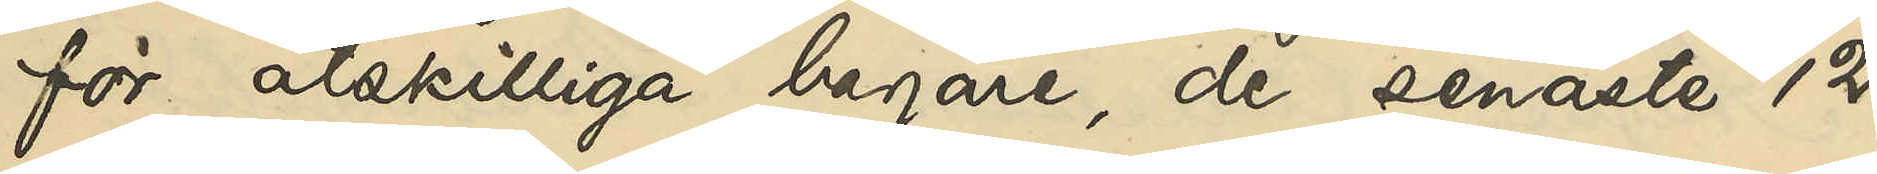för åtskilliga bagare, de senaste 12
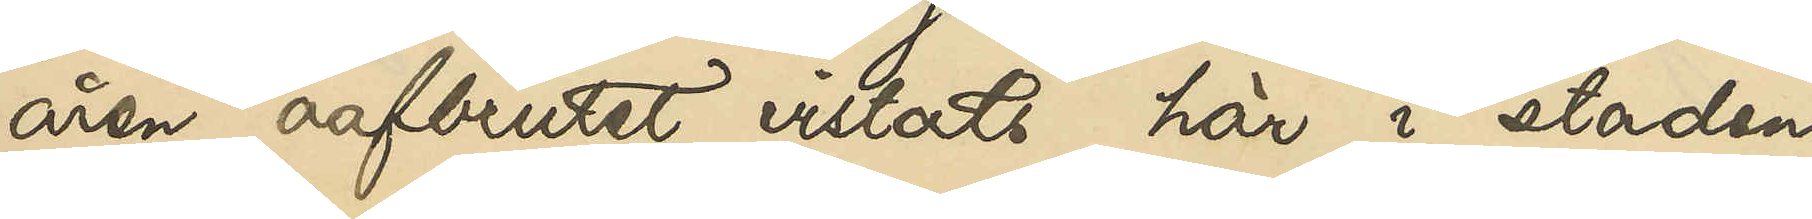åren oafbrutet vistats här i staden
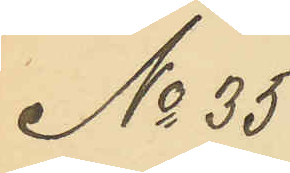No 35
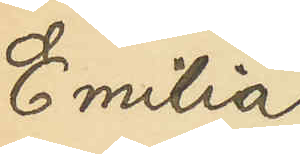Emilia
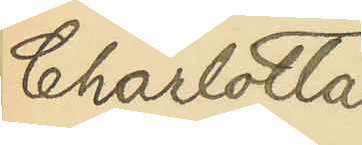Charlotta
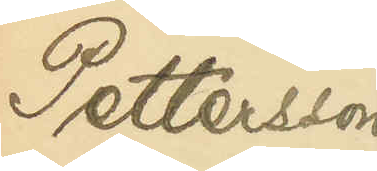Pettersson
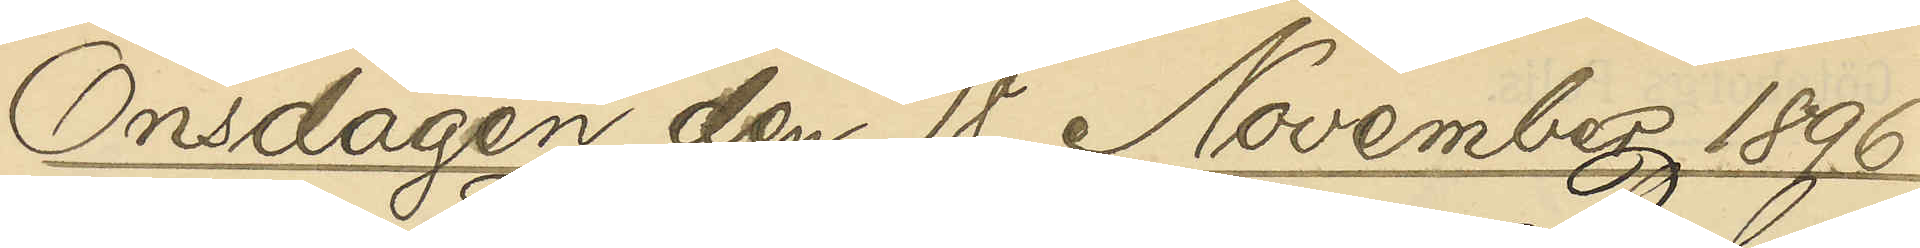Onsdagen den 18 November 1896
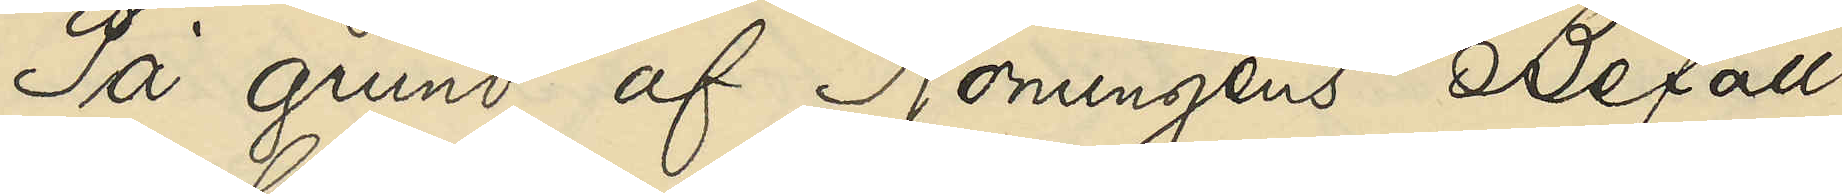På grund af Konungens Befall¬
